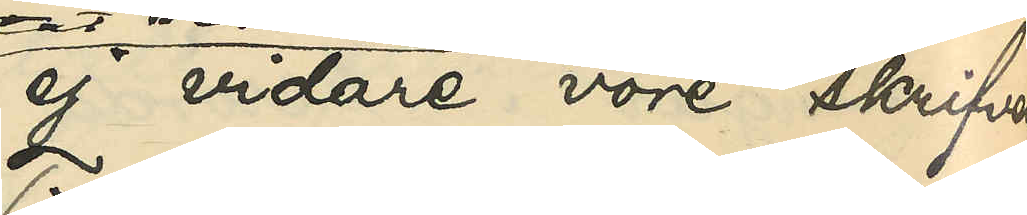ej vidare vore skrifven
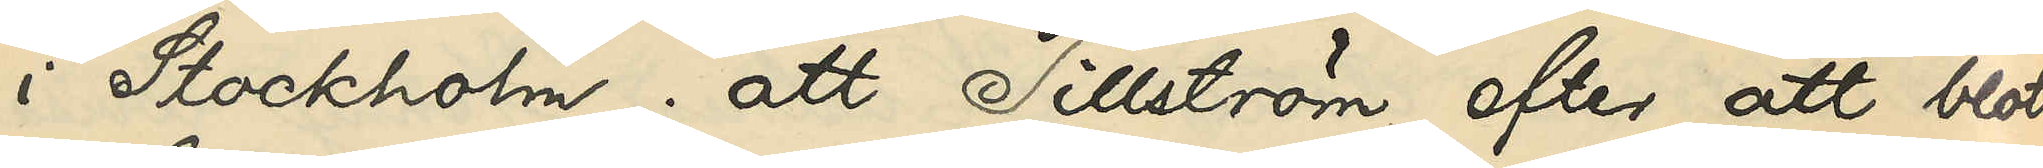i Stockholm; att Tillström, efter att blott
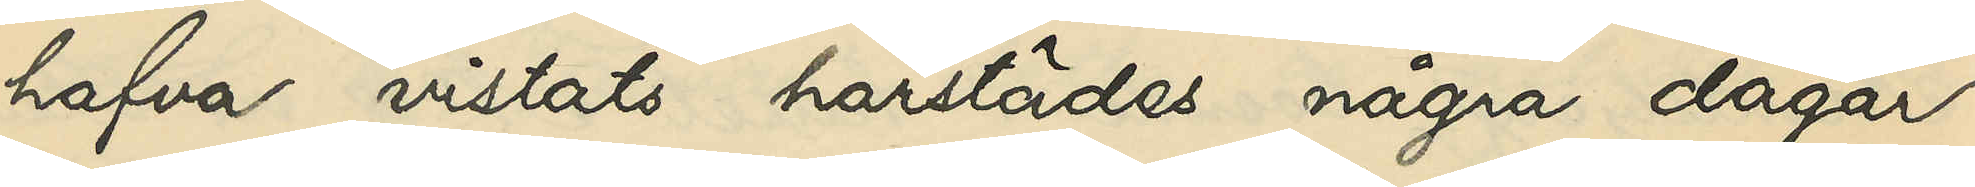hafva vistats härstädes några dagar,
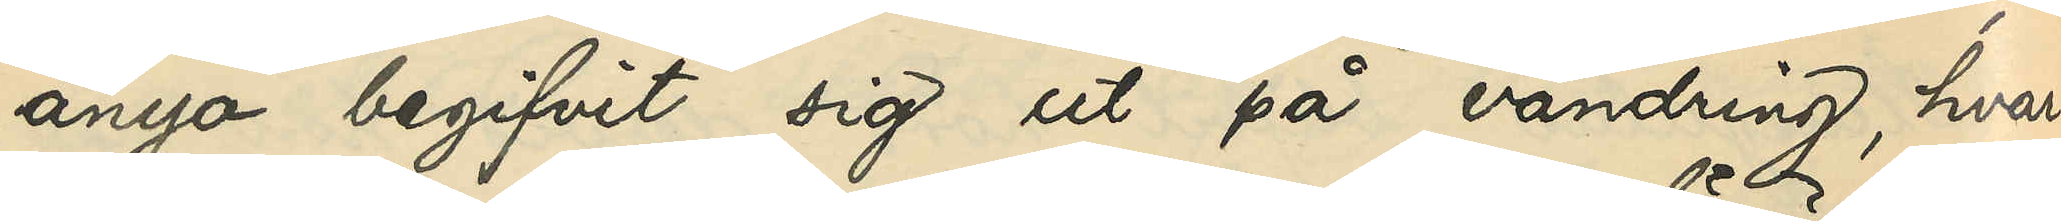ånyo begifvit sig ut på vandring, hvar¬
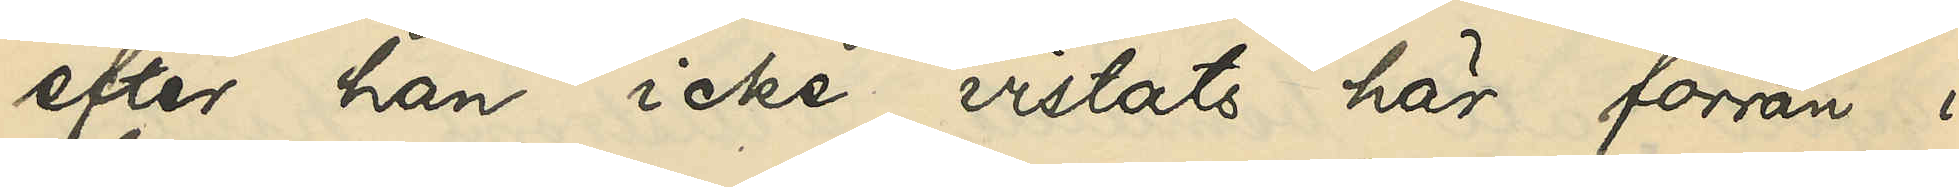efter han icke vistats här förrän i
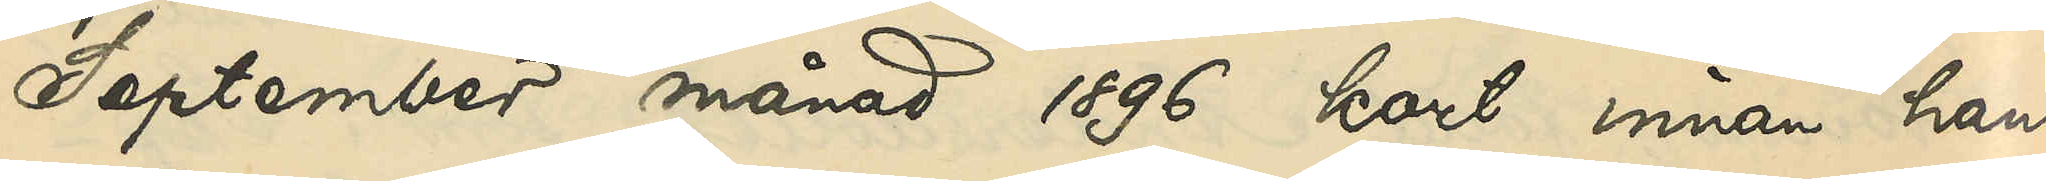September månad 1896 kort innan han
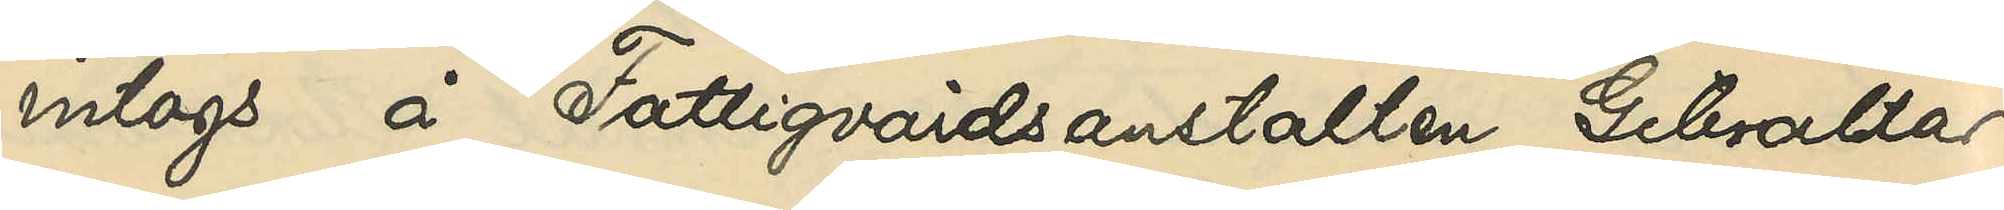intogs å Fattigvårdsanstalten Gibraltar;
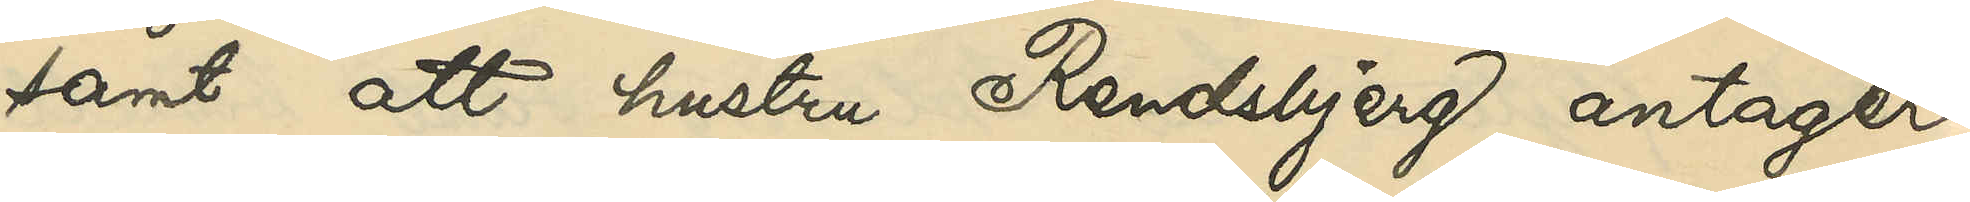samt att hustru Rendsbjerg antager,
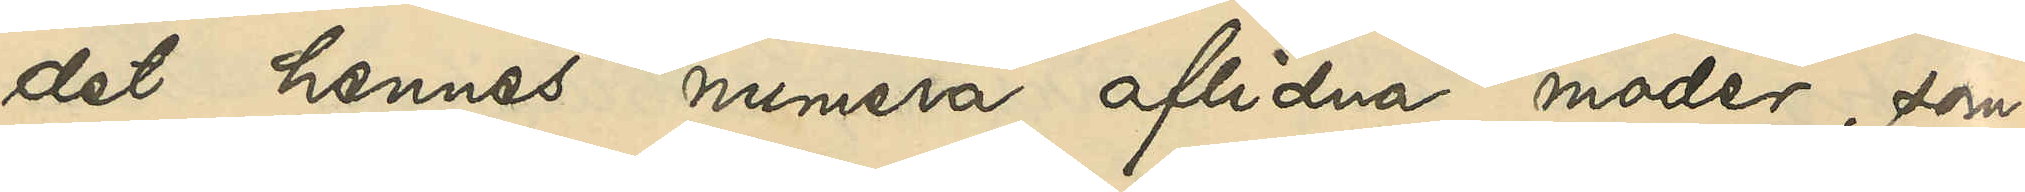det hennes numera aflidna moder, som
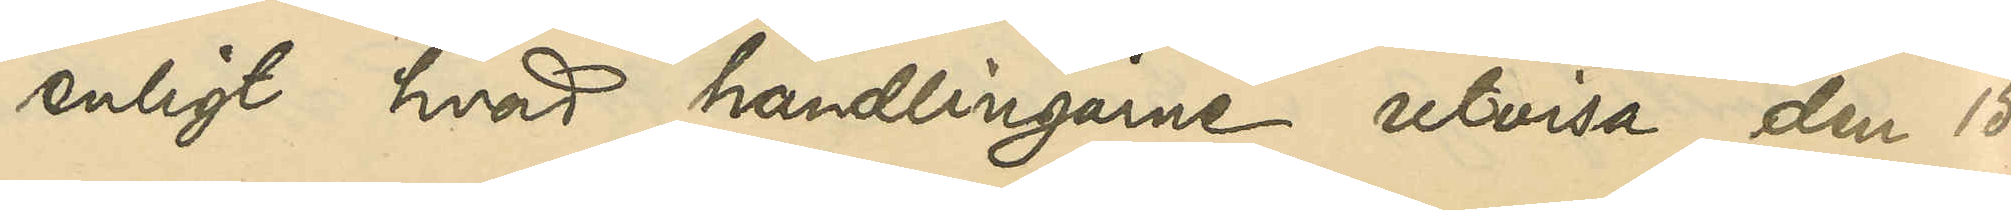enligt hvad handlingarne utvisa, den 15
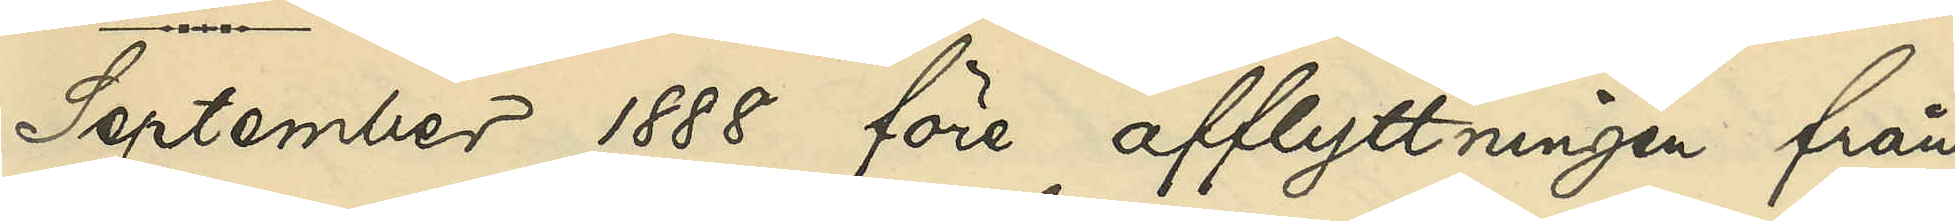September 1888 före afflyttningen från
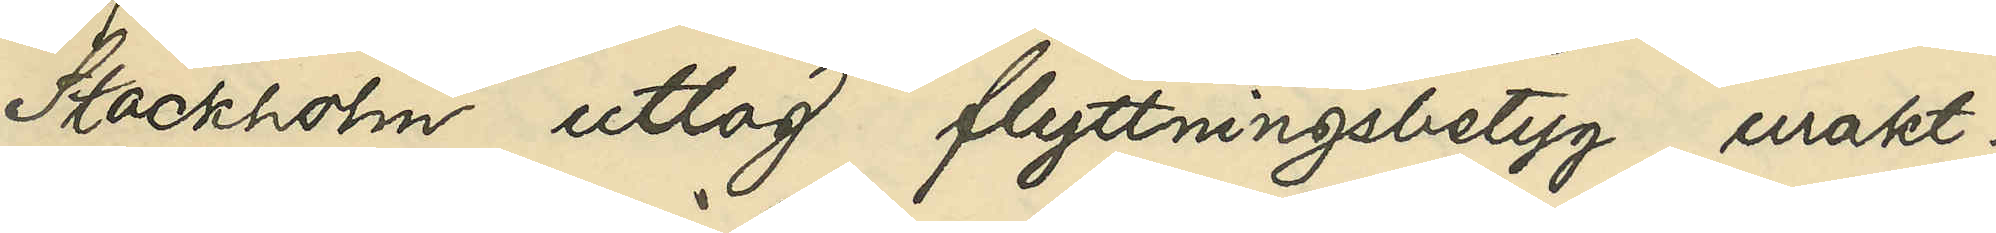Stockholm uttog flyttningsbetyg, urakt¬
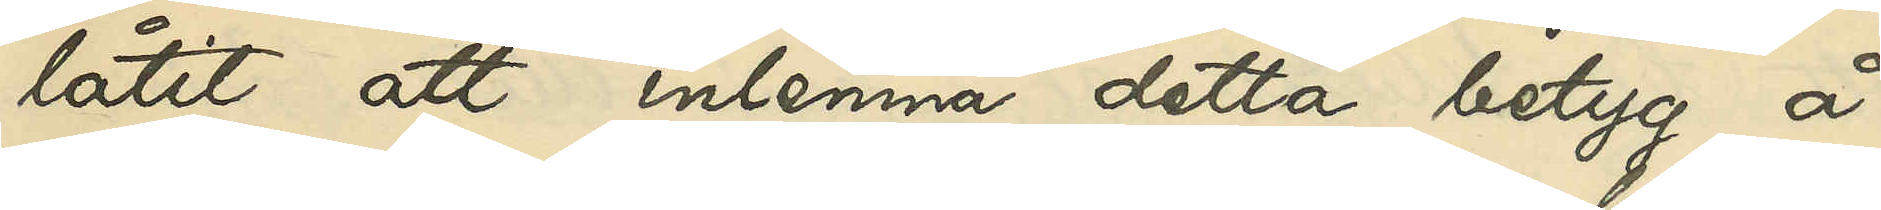låtit att inlemna detta betyg å
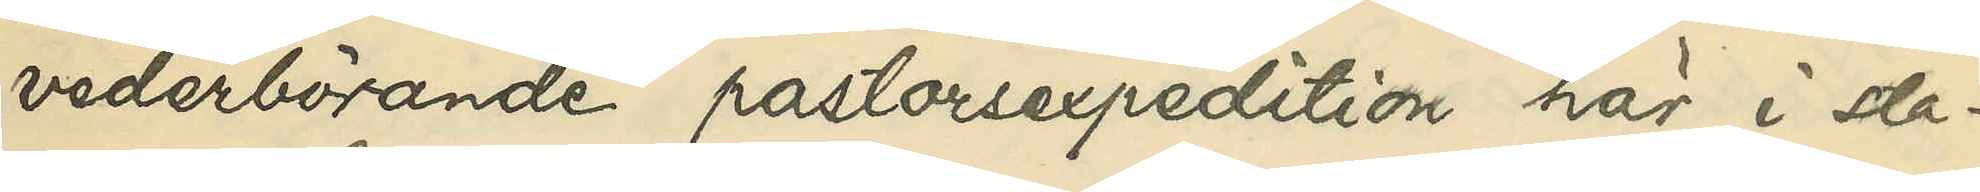vederbörande pastorsexpedition här i sta¬
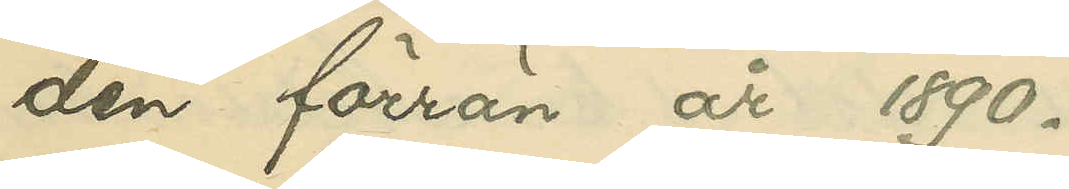den förrän år 1890.
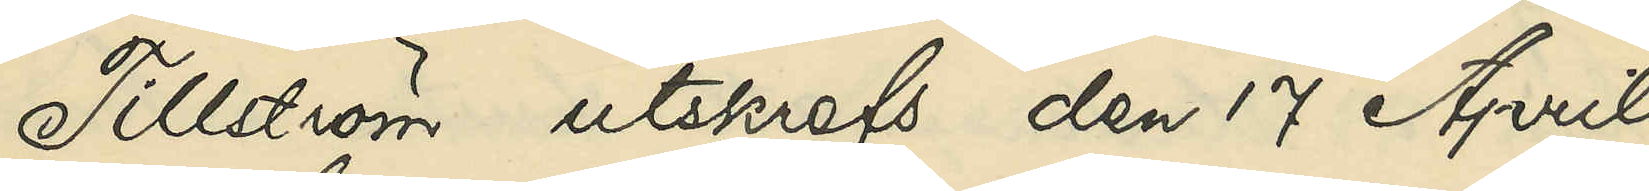Tillström utskrefs den 17 April
